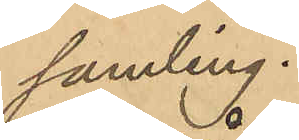samling.
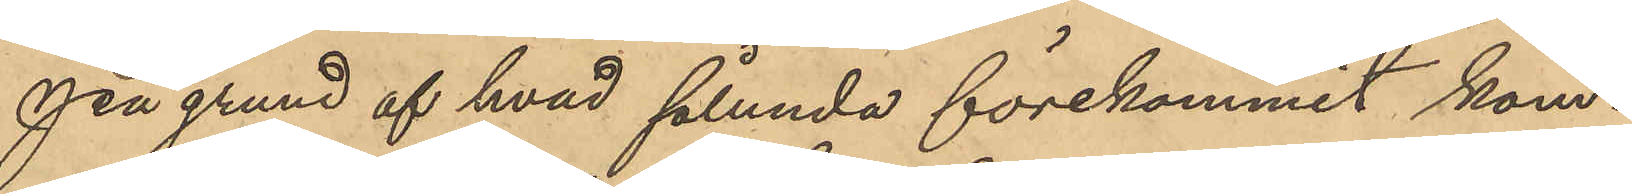På grund af hvad sålunda förekommit kom¬
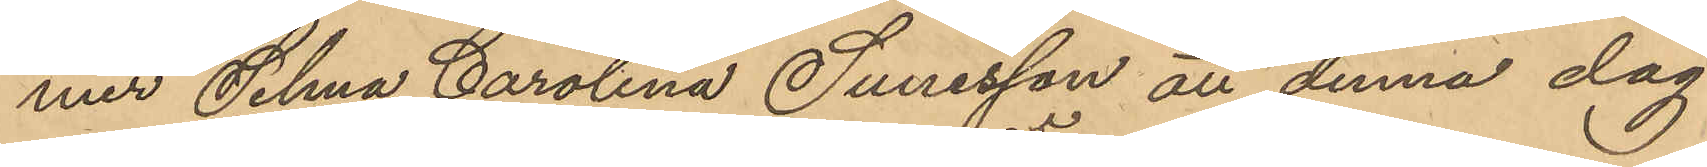mer Selma Carolina Sunesson att denna dag
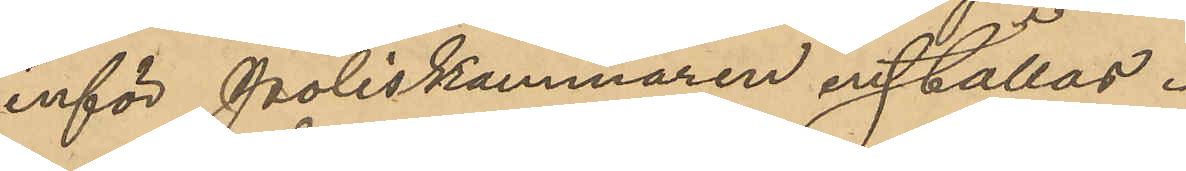inför Poliskammaren inställas.
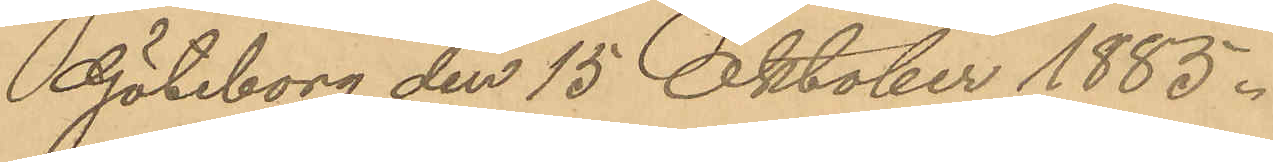Göteborg den 15 Oktober 1885.
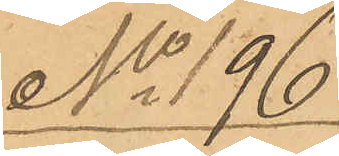No 196
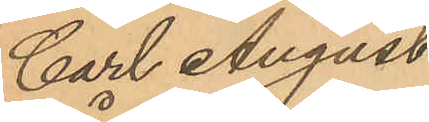Carl August
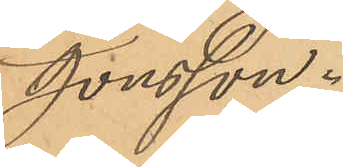Jonsson.
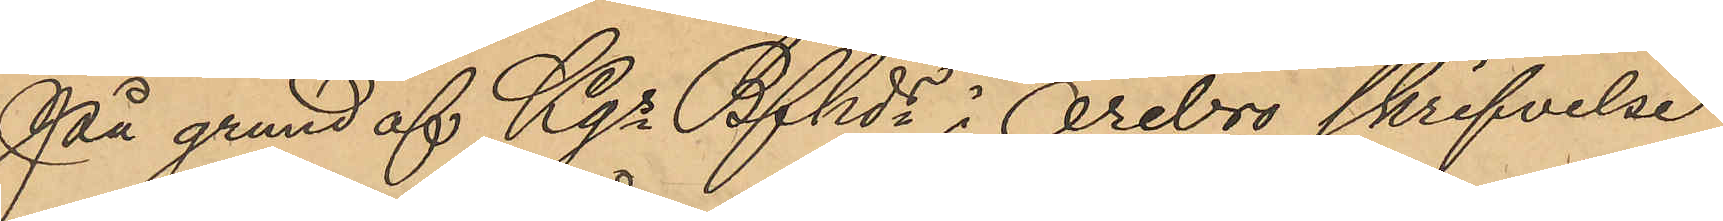På grund af Kgs Bfhds i Örebro skrifvelse
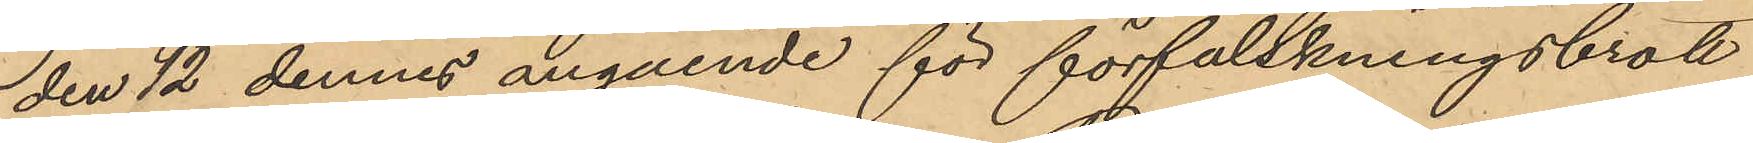den 12 dennes angående för förfalskningsbrott
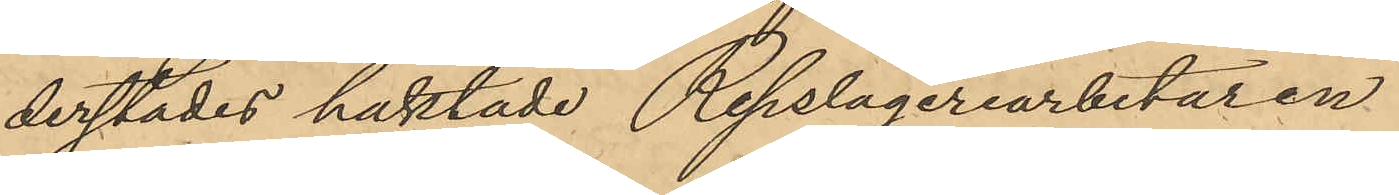derstädes häktade Repslageriarbetaren
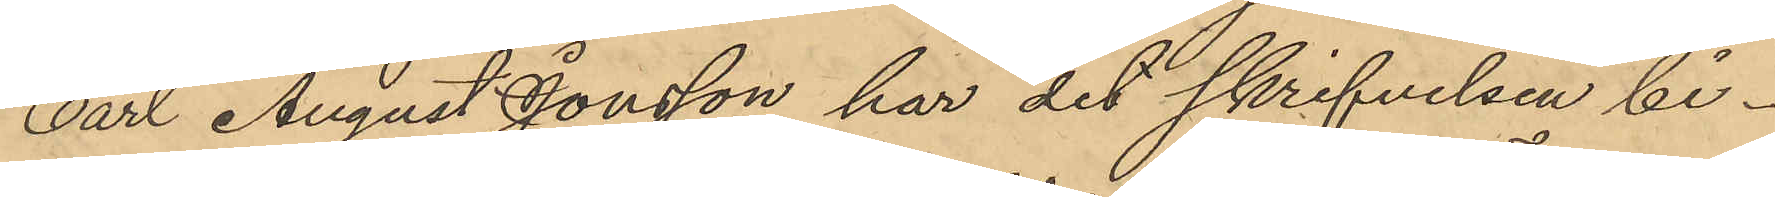Carl August Jonsson har det skrifvelsen bi¬
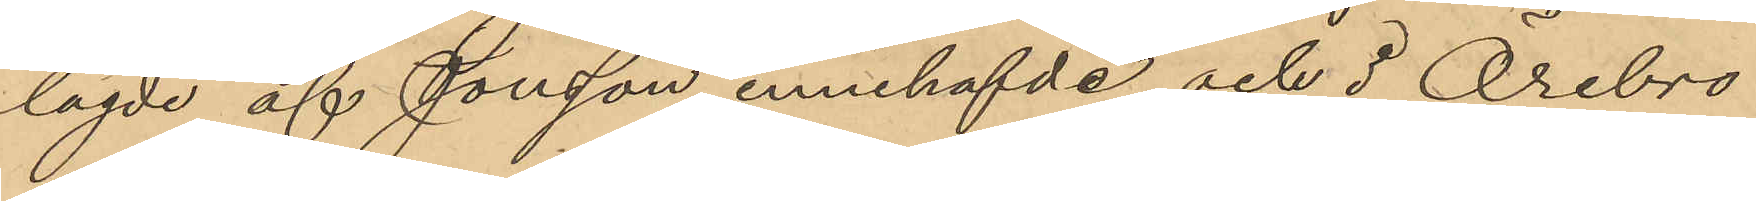lagde af Jonsson innehafvde och i Örebro¬
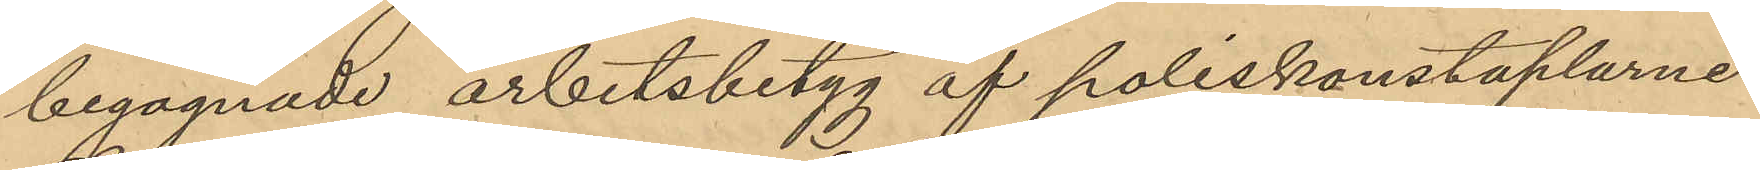begagnade arbetsbetyg af poliskonstaplarne
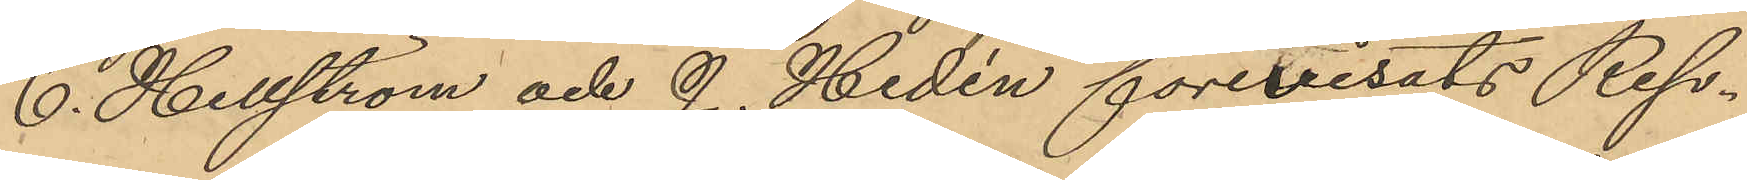C. Hellström och J. Hedén förevisats Reps¬
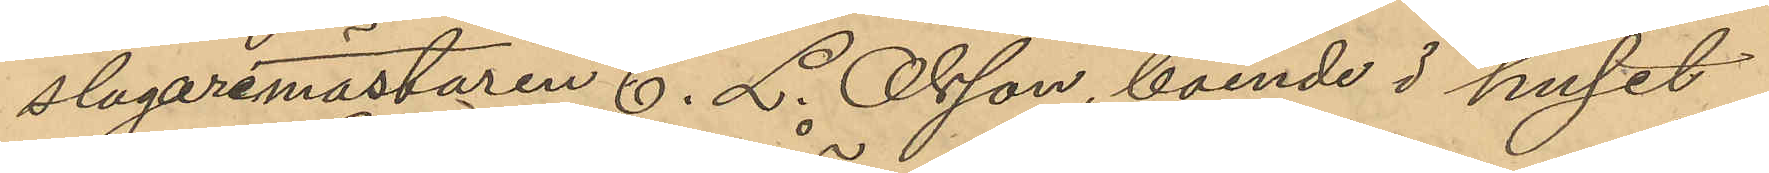slagaremästaren C. L. Olsson, boende i huset
